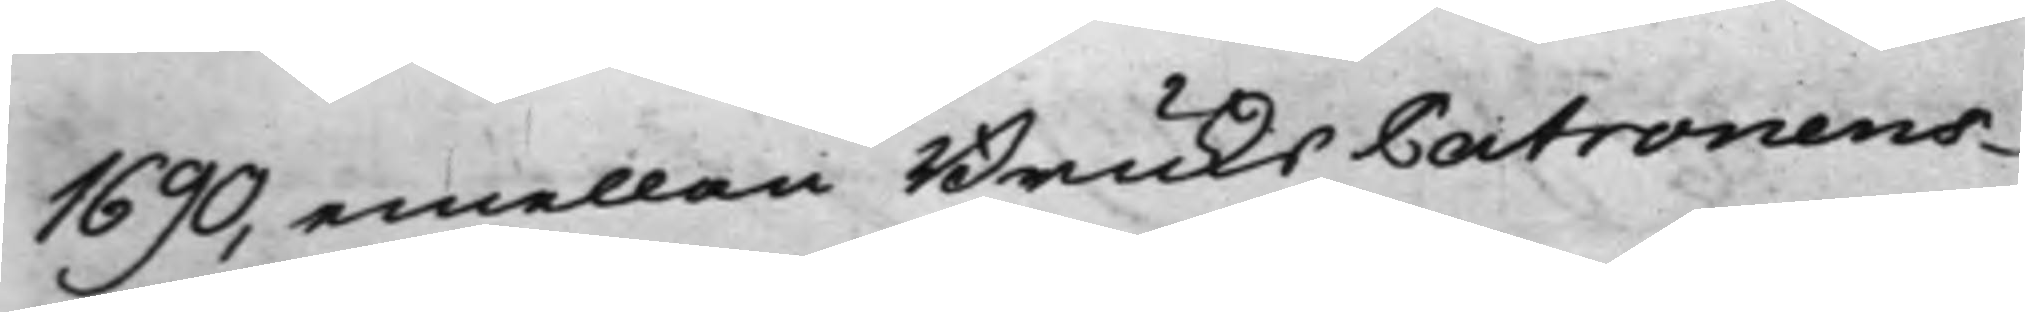1690, emellan BruksPatronens
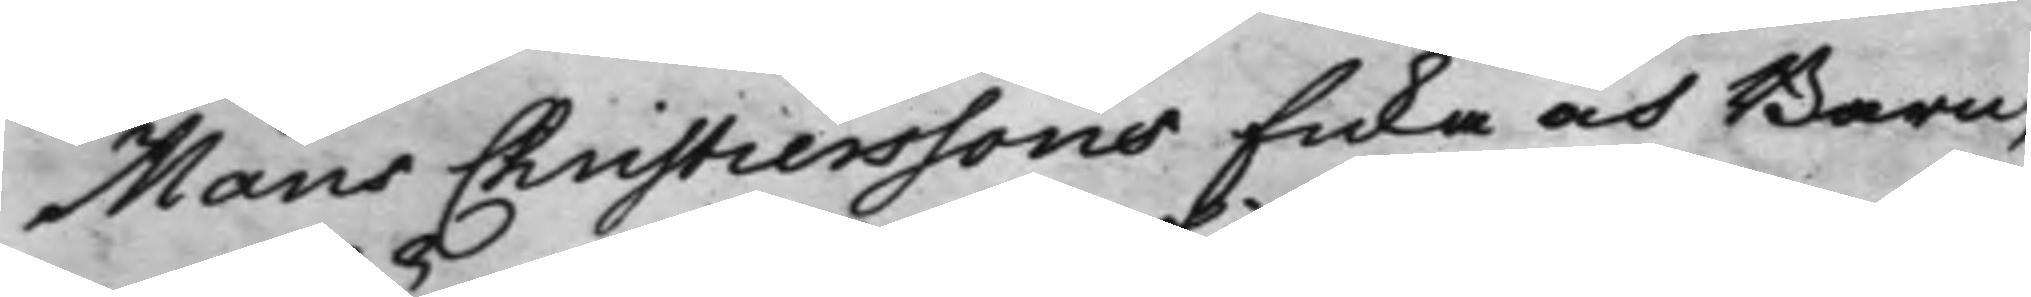Måns Christierssons Enka och Barn,
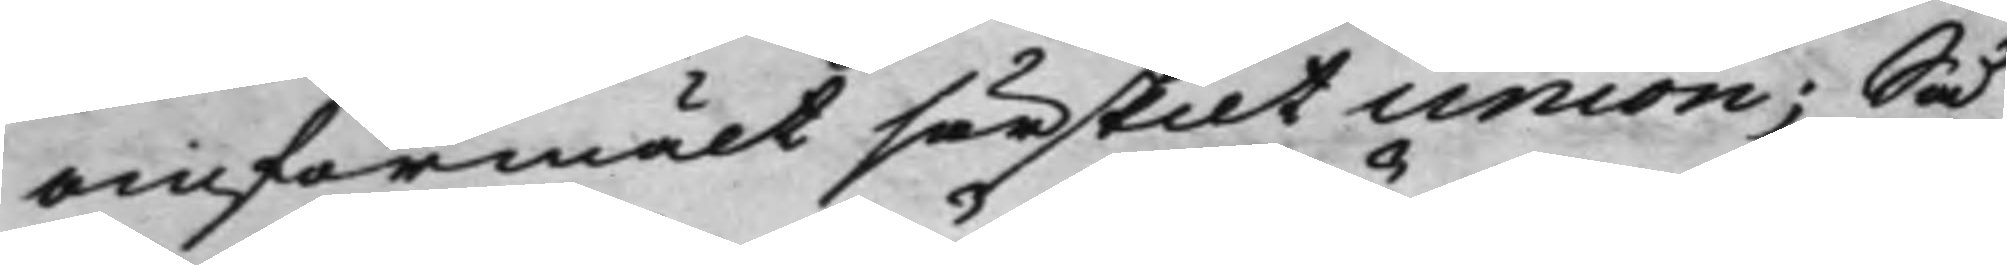omförmält särskilt union; Så
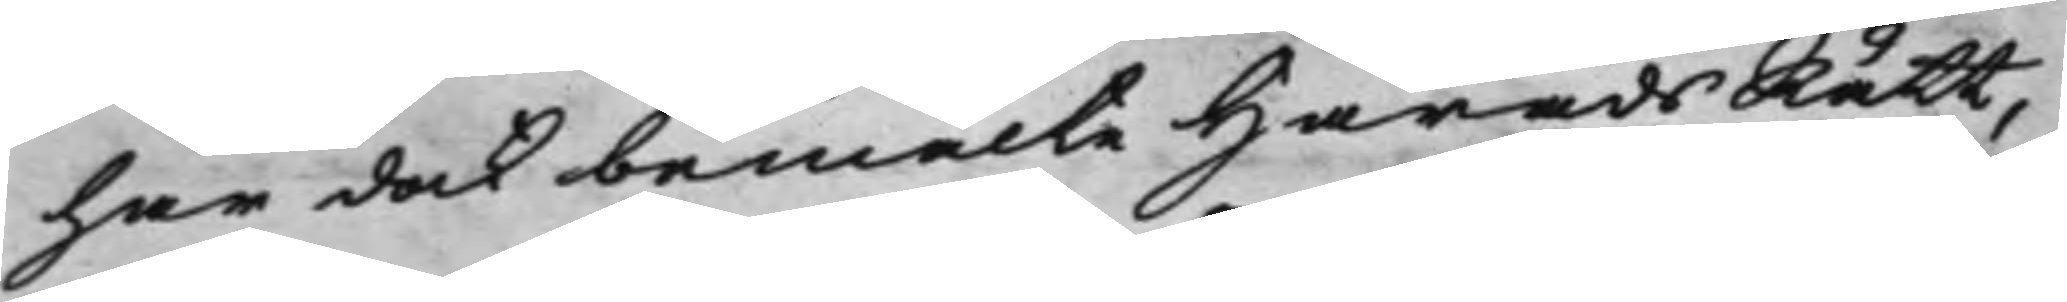har dock bemälte HäradsRätt,
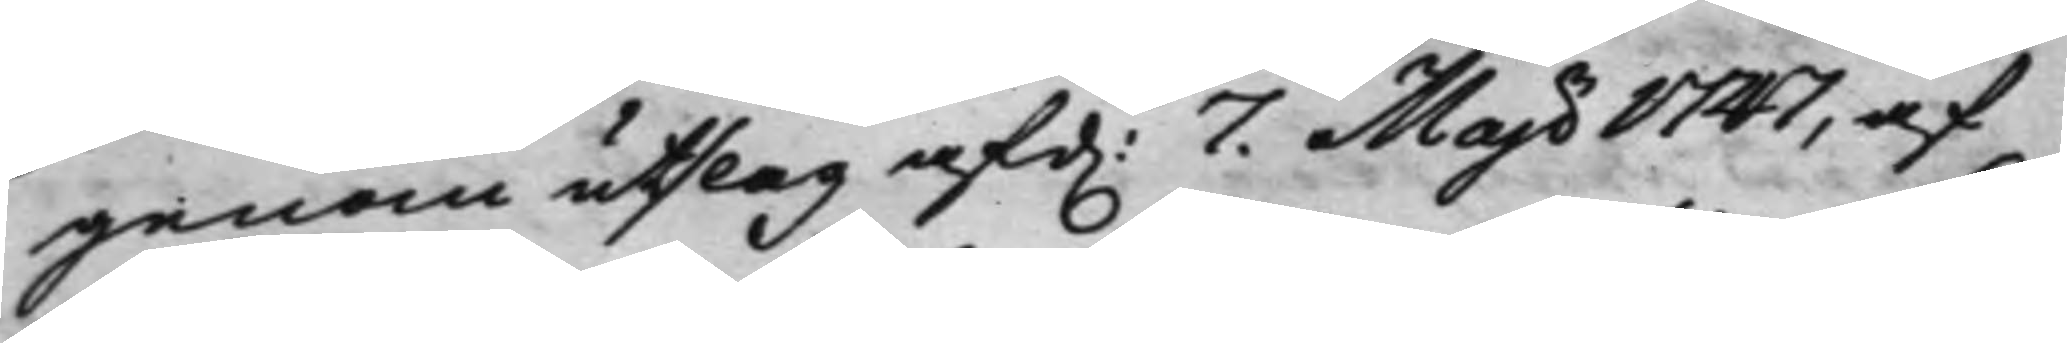genom utslag af d. 7. Maji 1747, af
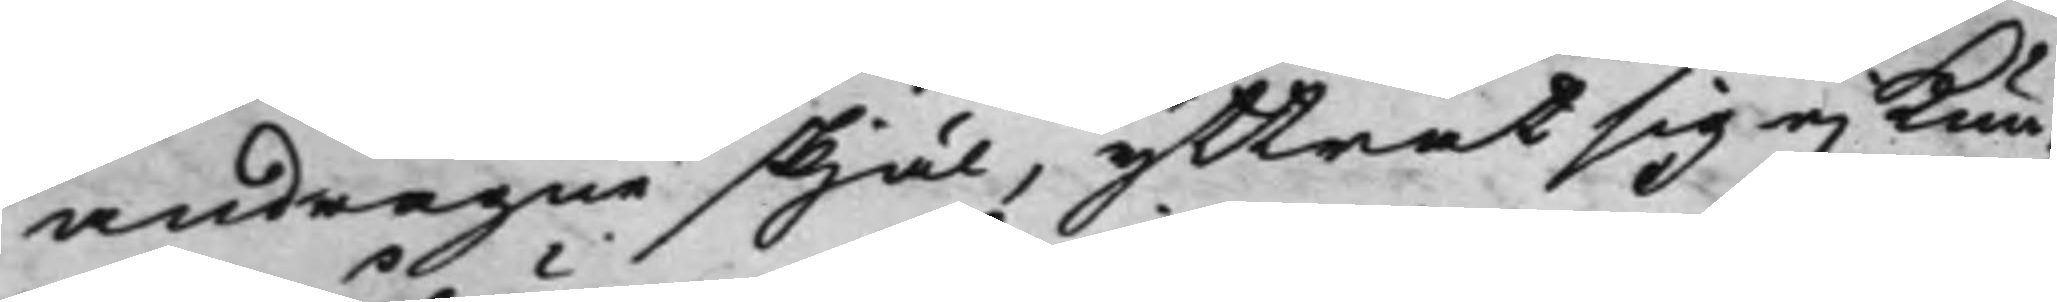andragne skjäl, yttrat sig ej Kun¬
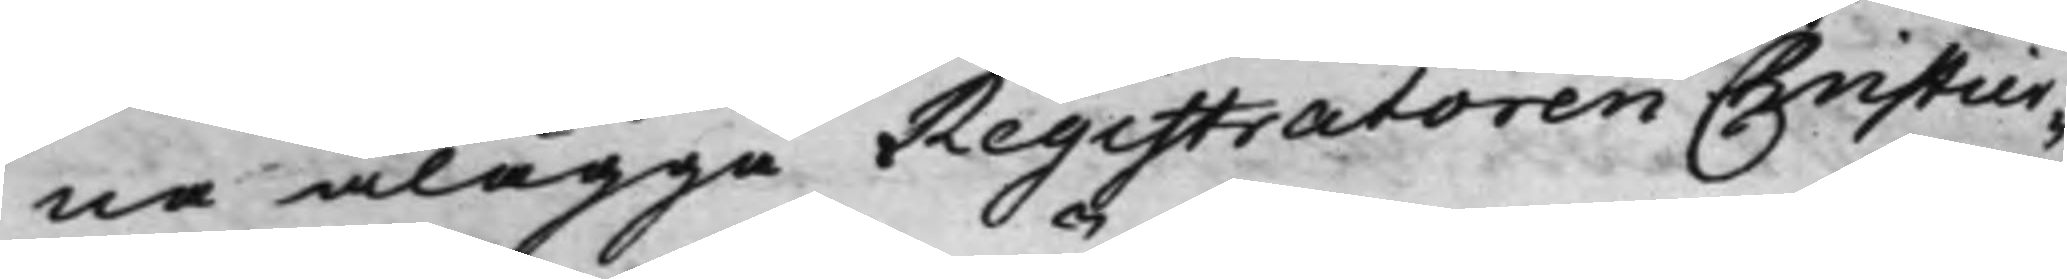ne ålägga Registratoren Christier¬
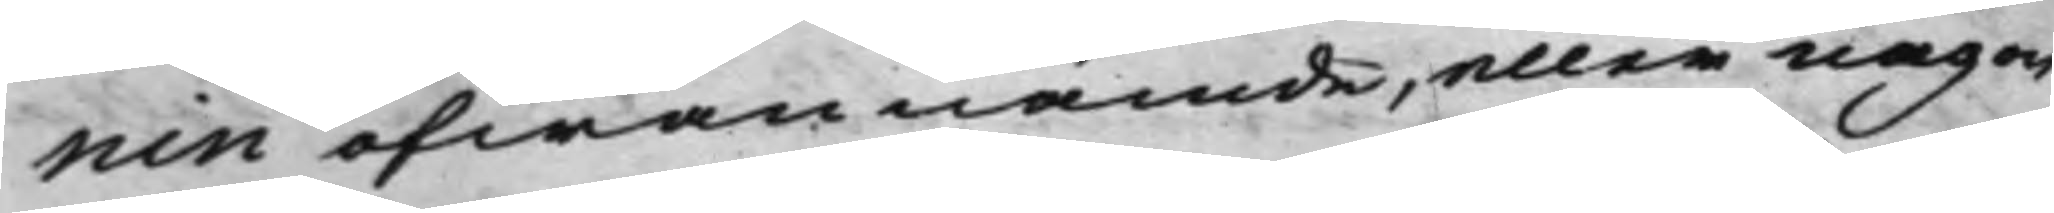nin ofwannämde, eller någon
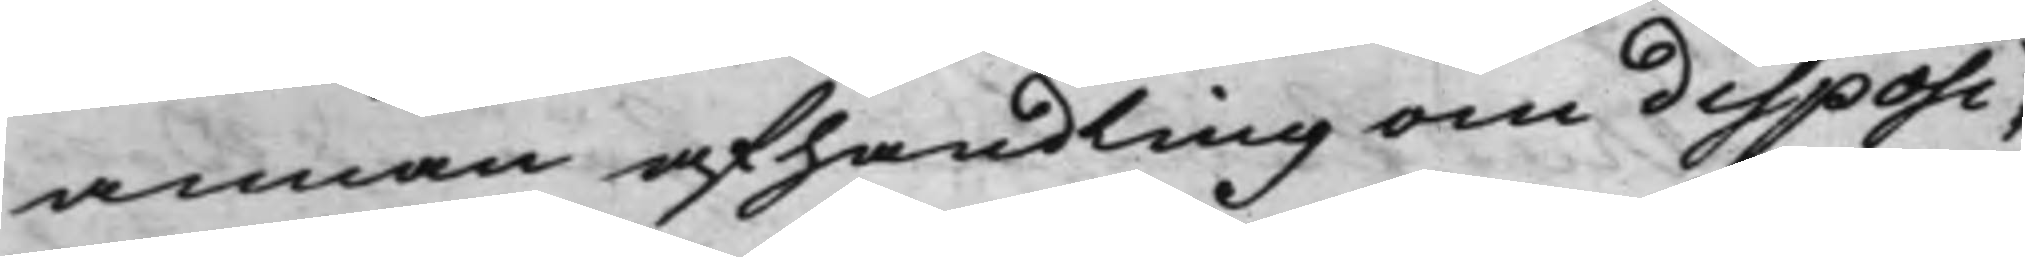annan afhandling om disposi¬
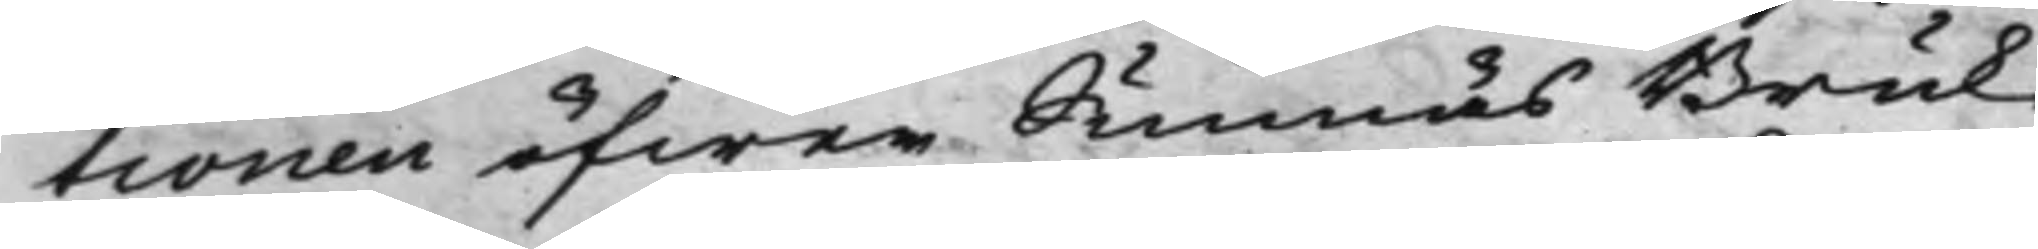tionen öfwer Sunnäs Bruk
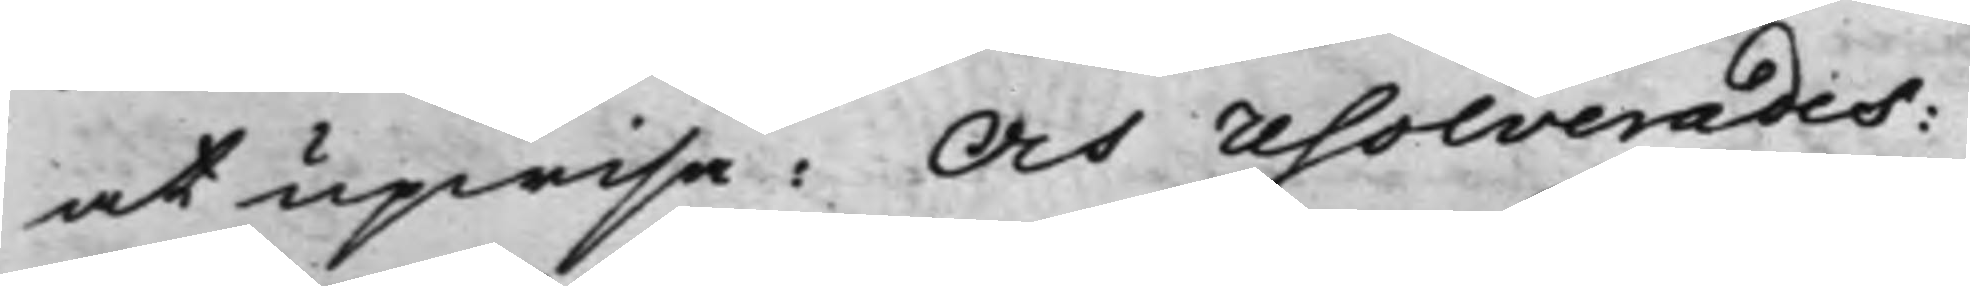at upwisa: Och resolverades:
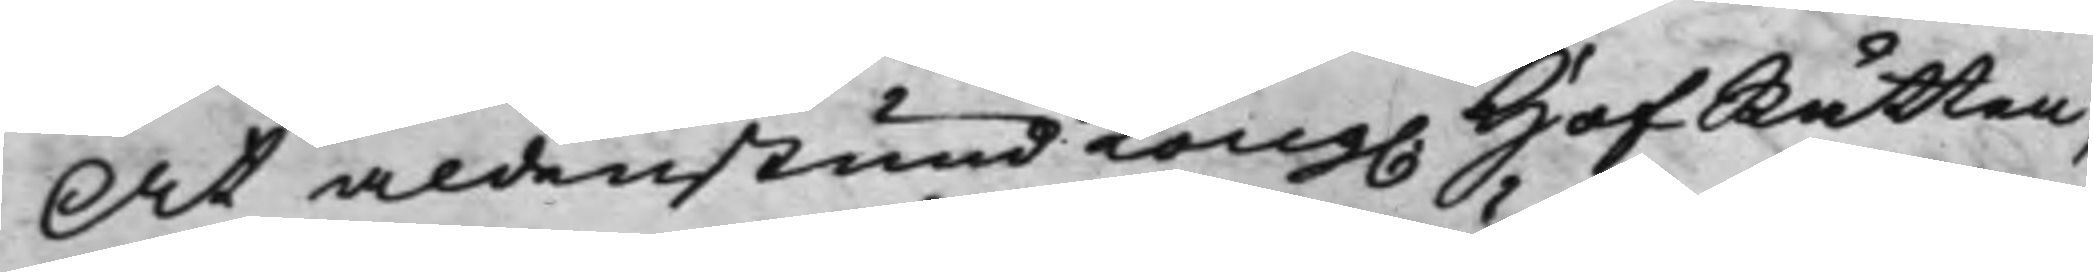At aldenstund Kong. HofRätten,
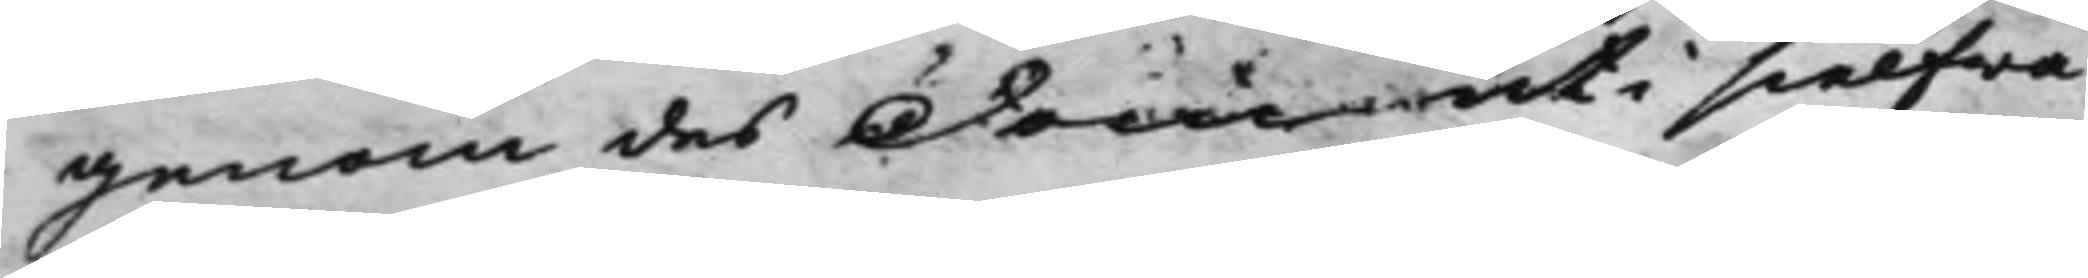genom des Dom uti sielfwa
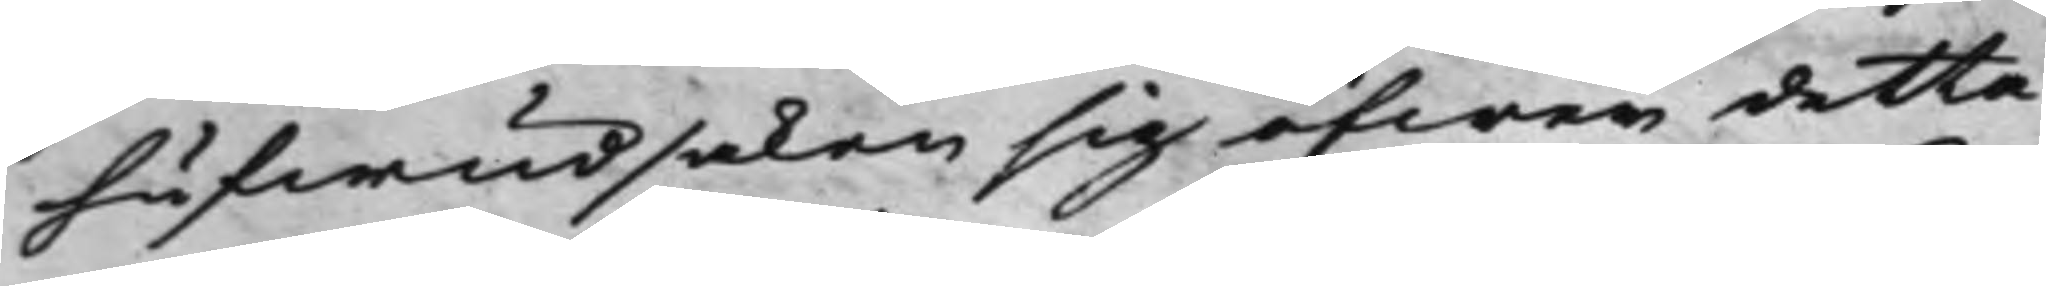hufwudsaken sig öfwer detta
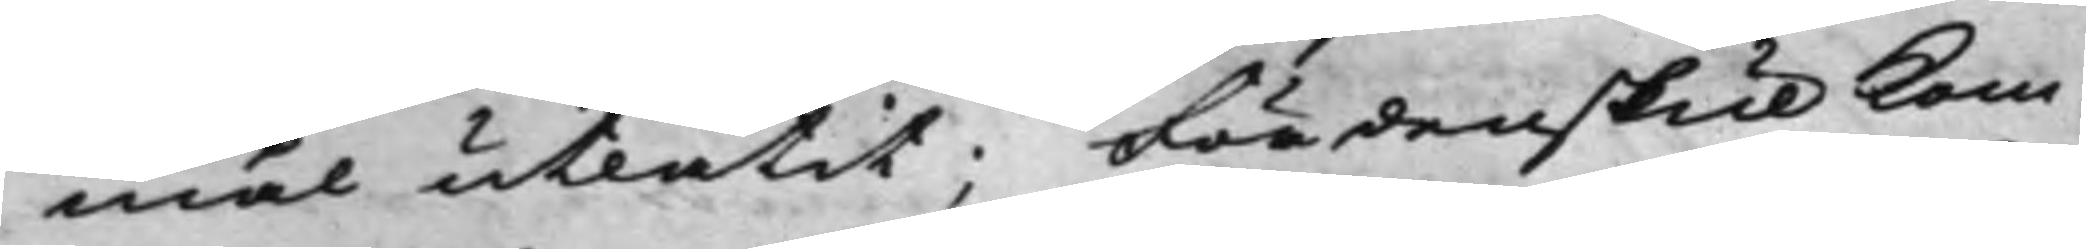mål utlåtit; Fördenskul kom¬
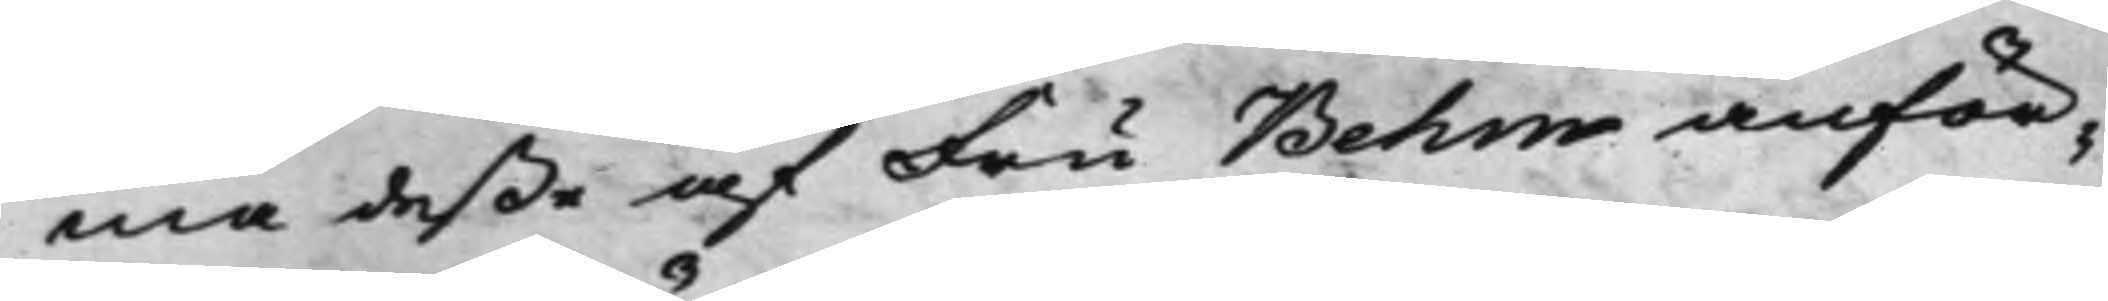ma deße af Fru Behm anför¬
